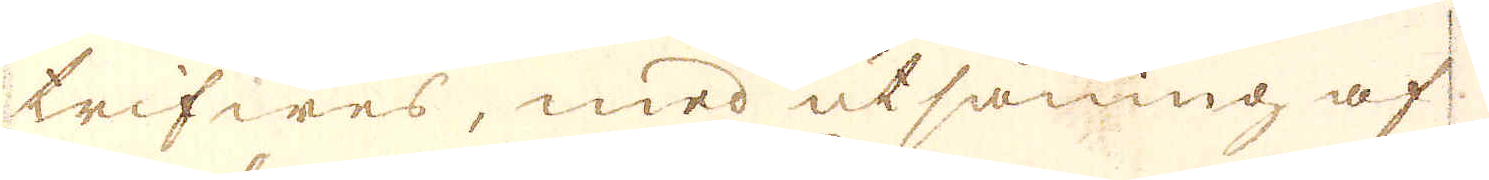trifwes, med utsåning af
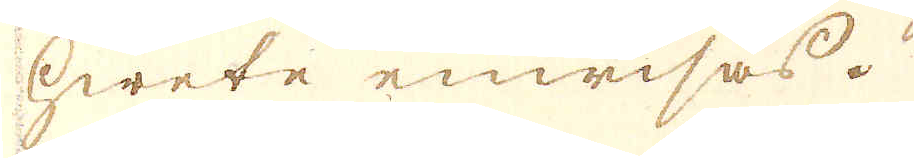hwete enwisas.
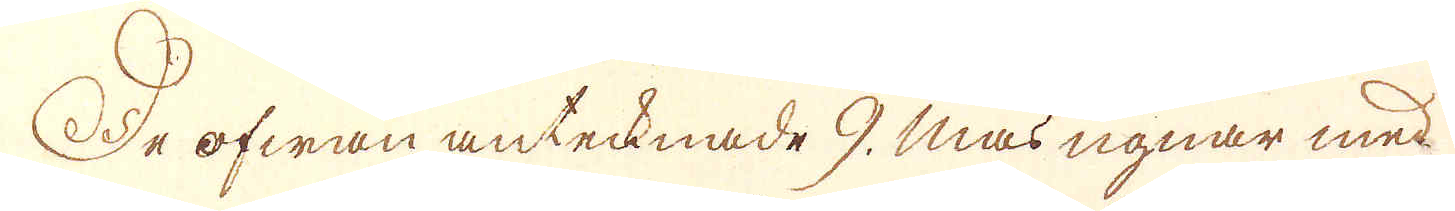De ofwan antecknade 9. Masugnar med
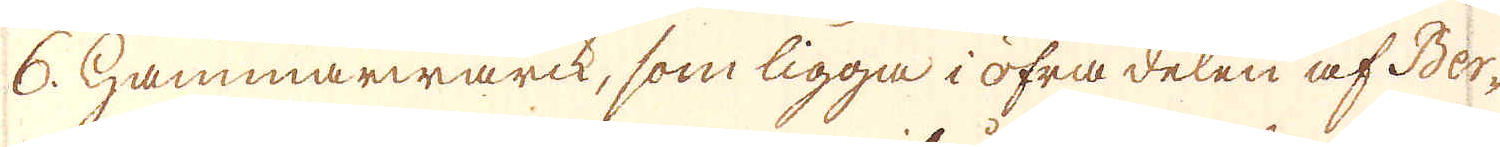6. hammarwarck, som ligga i öfra delen af Ber-
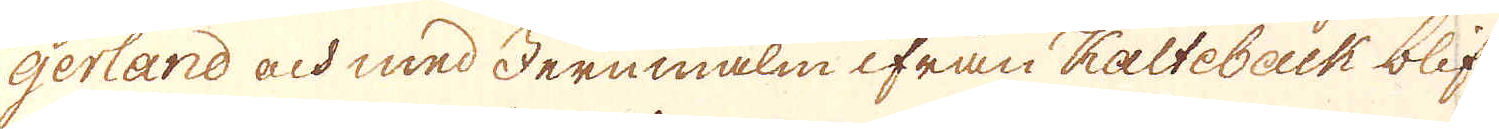gerland och med Jernmalm ifrån Kalteback blif-
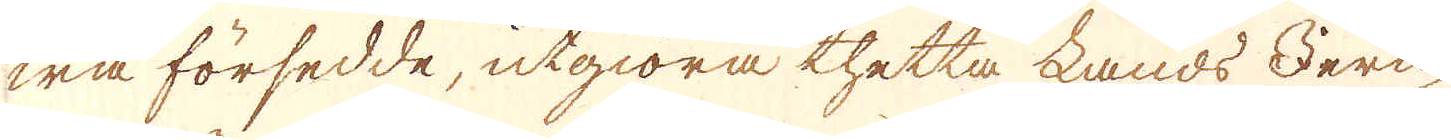wa försedde, utgiöra thetta Lands Jern-
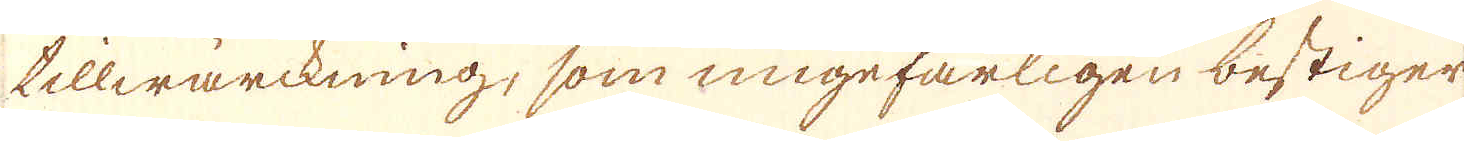tillwärckning, som ungefärligen bestiger
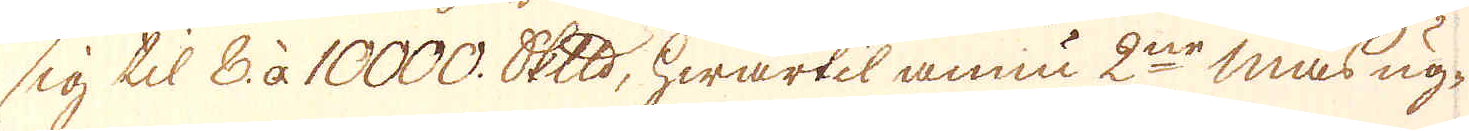sig til 8. à 10000. skeppund, hwartil ännnu 2ne Masug-
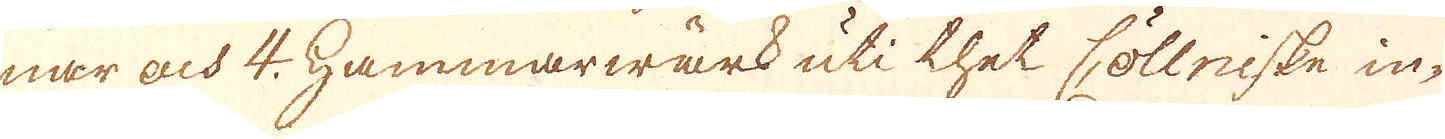nar och 4. Hammarwärk uti thet Cöllniske in-
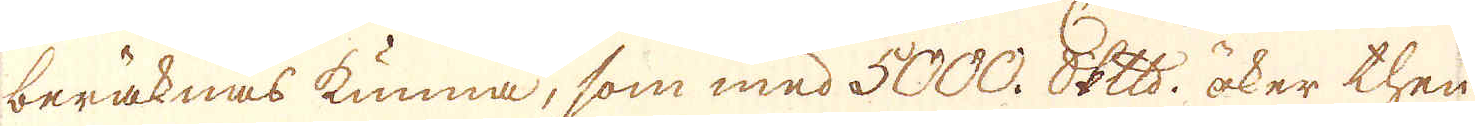beräknas kunna, som med 5000. skeppund öker then
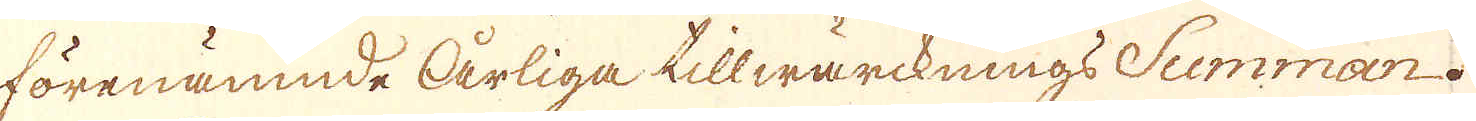förenämnde Årliga tillwärcknings Summan.
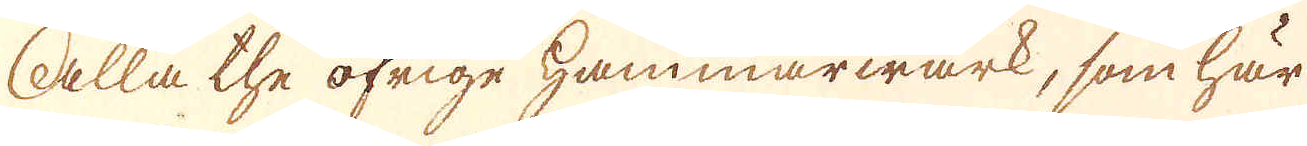Alla the öfrige hammarwärk, som här
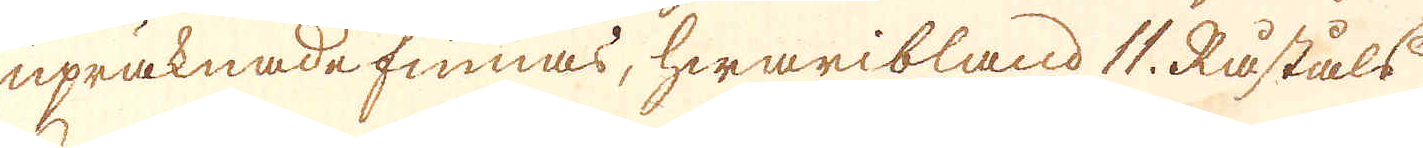upräknade finnas, hwaribland 11. Råståls
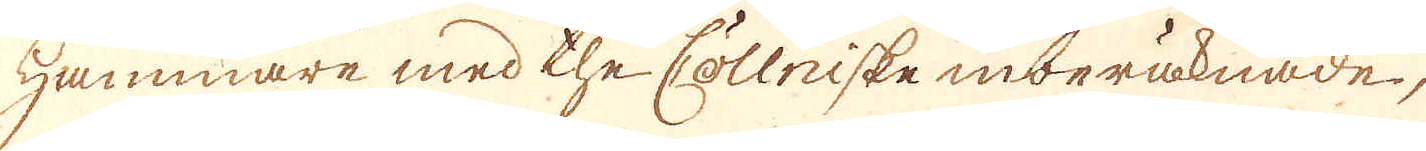Hammare med the Cöllniske inberäknade,
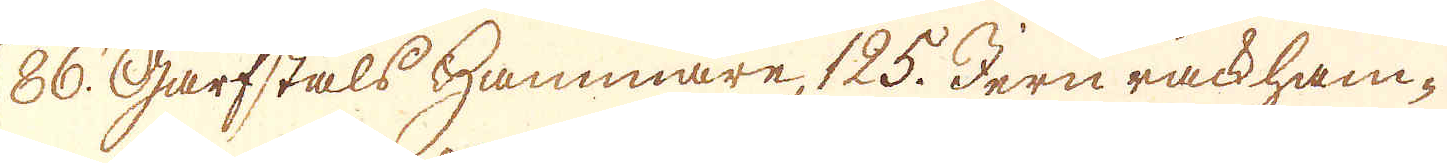86. Garfståls Hammare, 125. Jern räckham-
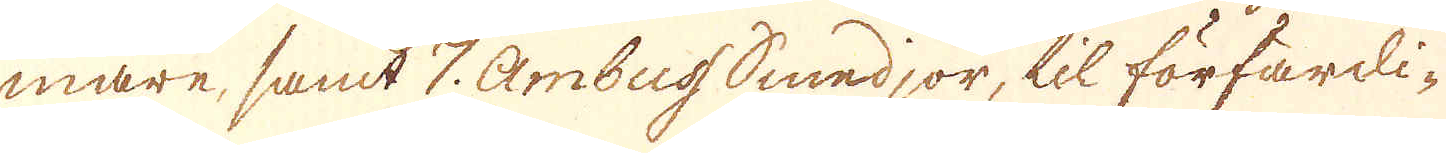mare, samt 7. Ambuss Smedjor, til förfärdi-
